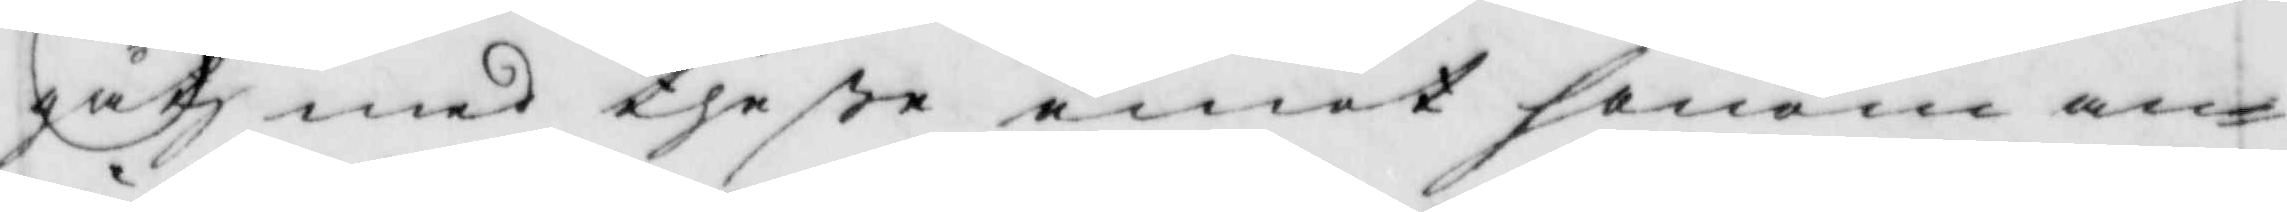gåtz med theße emot honom an¬
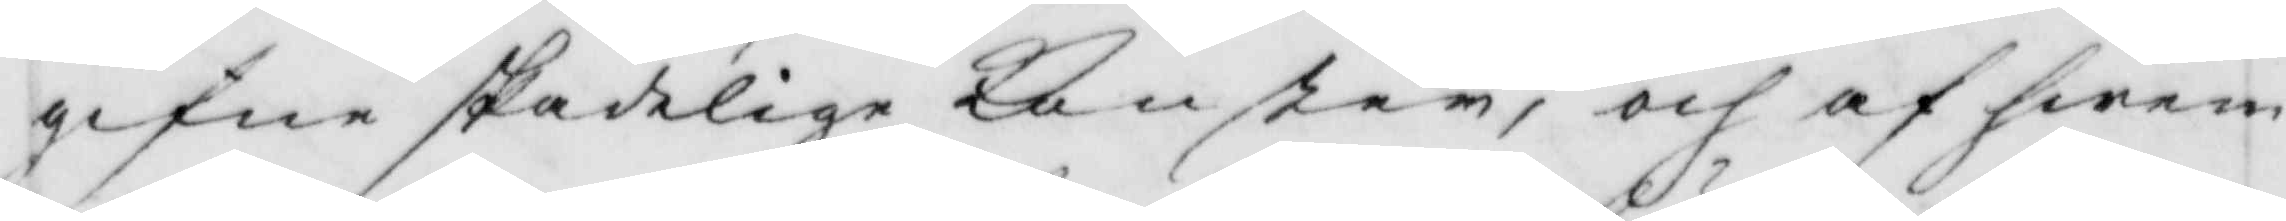gifne skadelige Konster, och af hwem
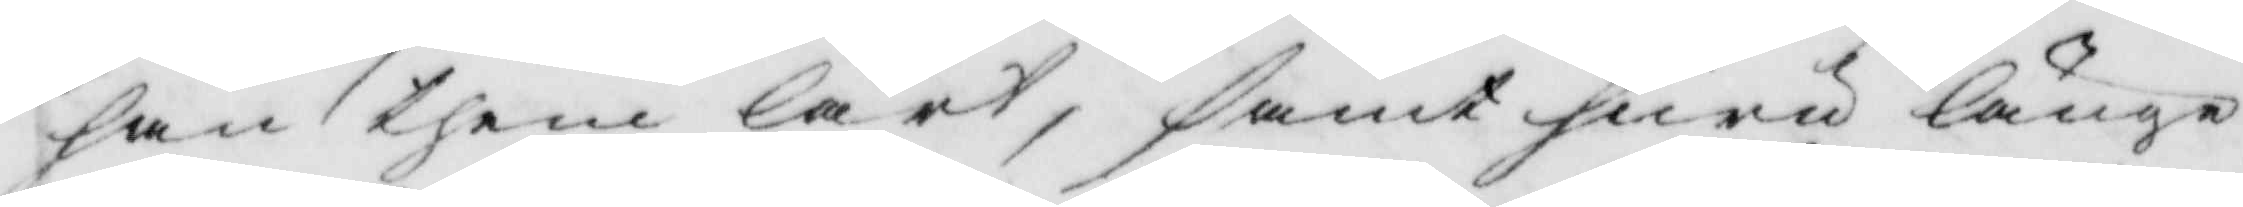han them lärt, samt huru länge
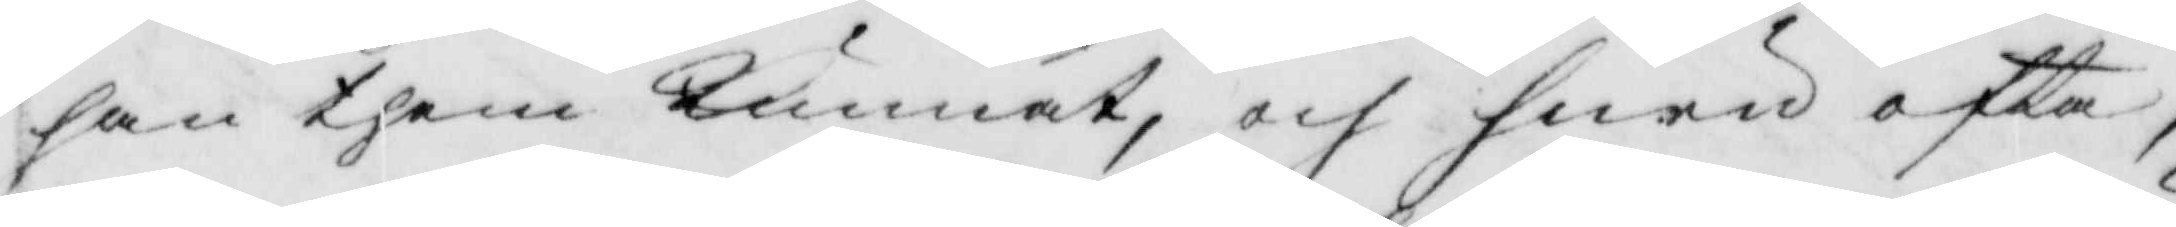han them kunnat, och huru ofta,
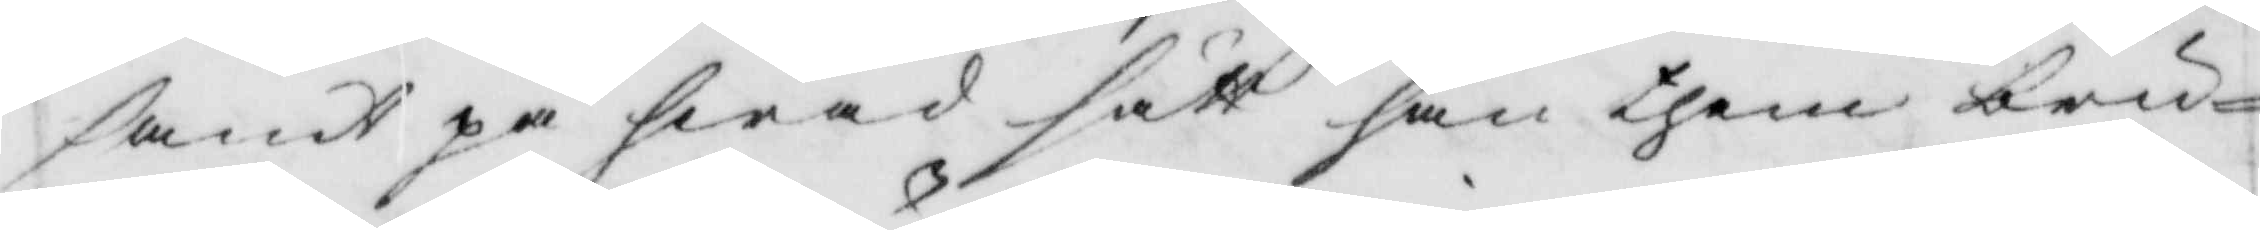samt på hwad sätt han them bru¬
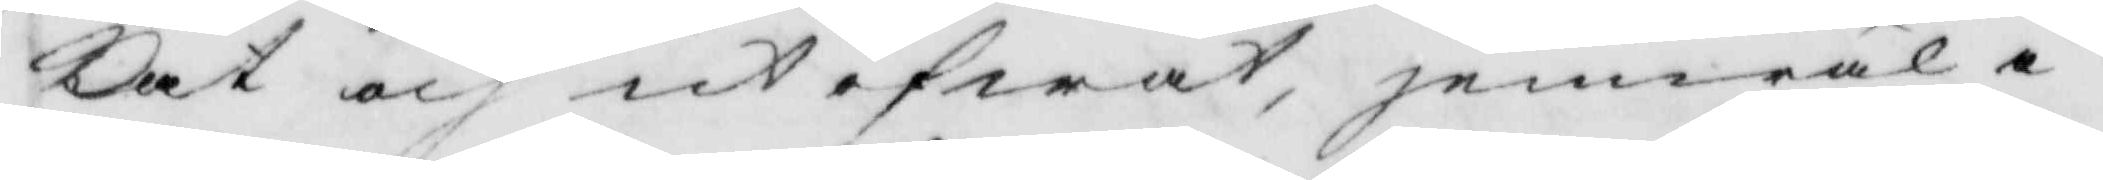kat och utöfwat, jemwäl i
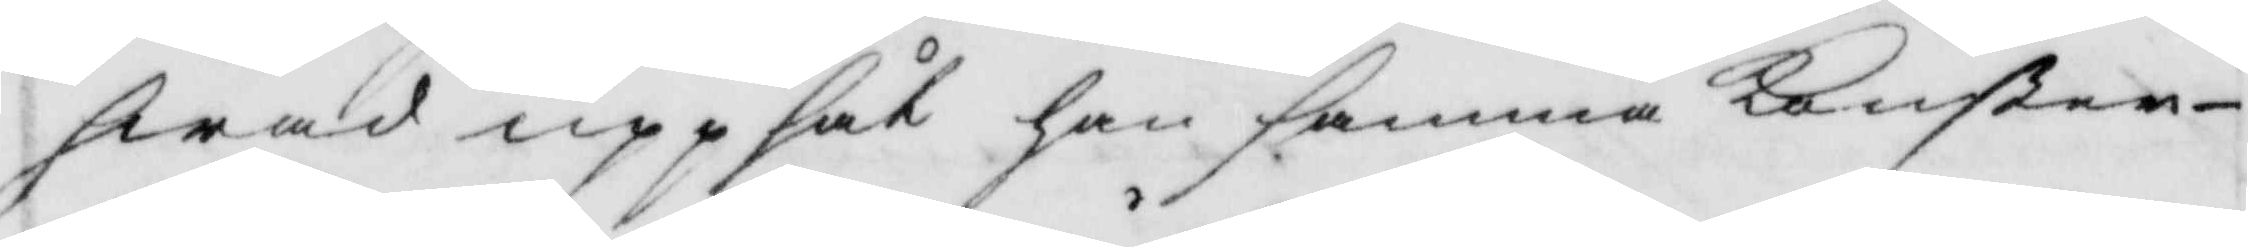hwad uppsåt han samma Konster
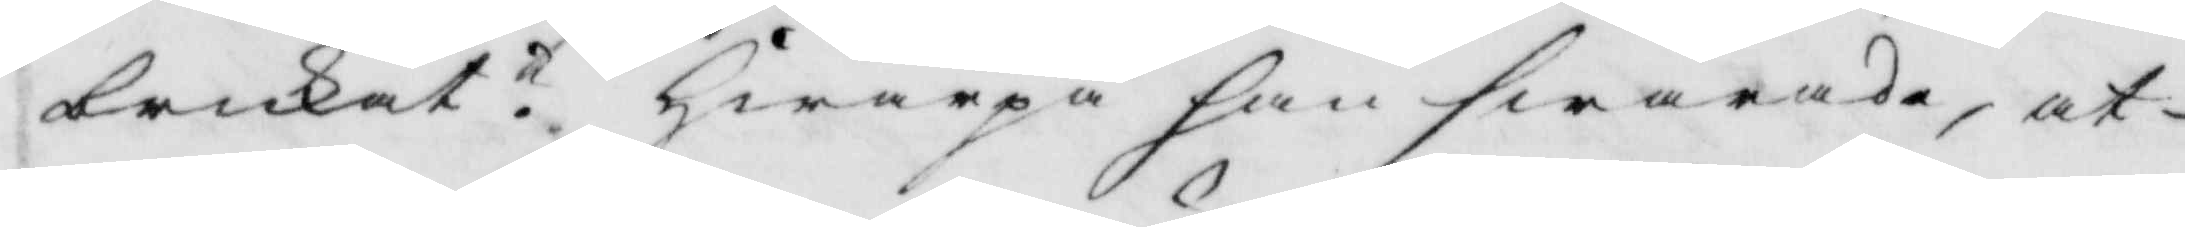brukat? hwarpå han swarade, at
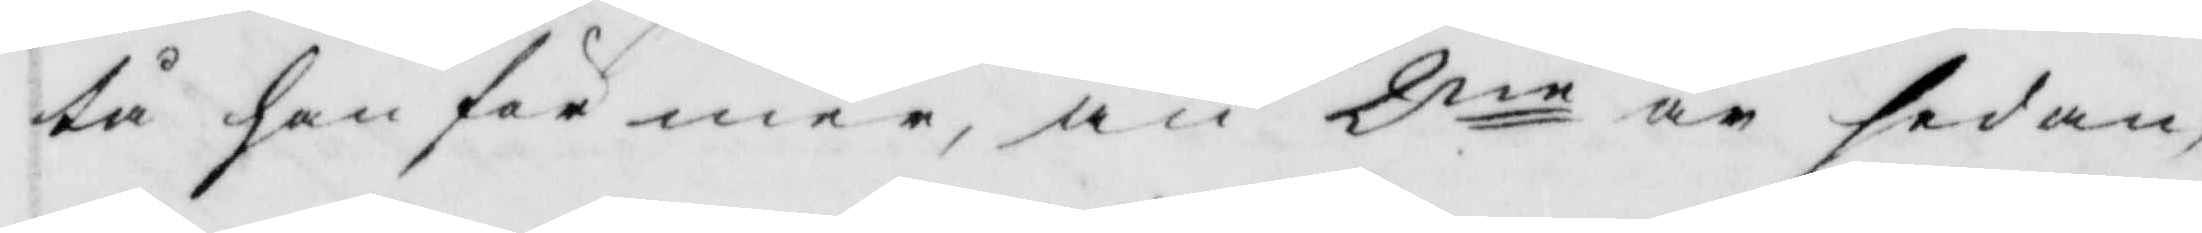tå han för mer, än 2ne år sedan,
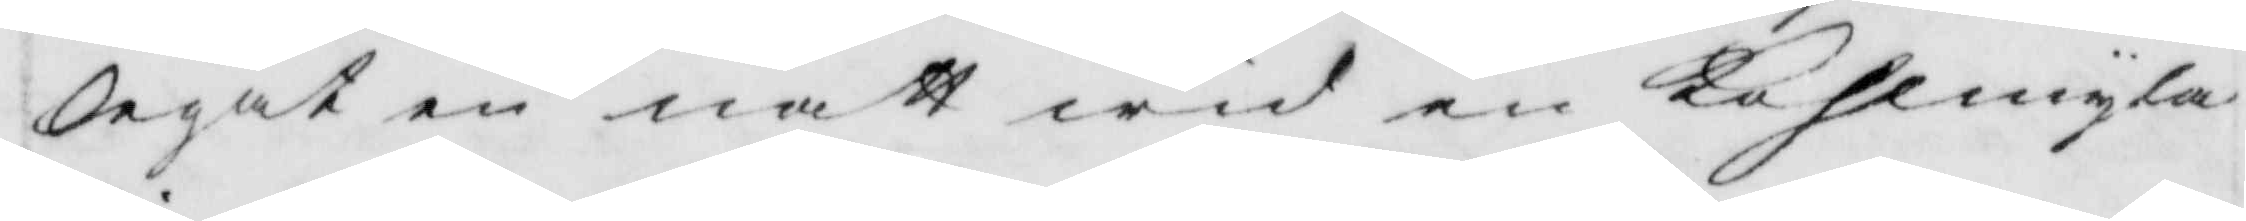legat en natt wid en Kolmyla
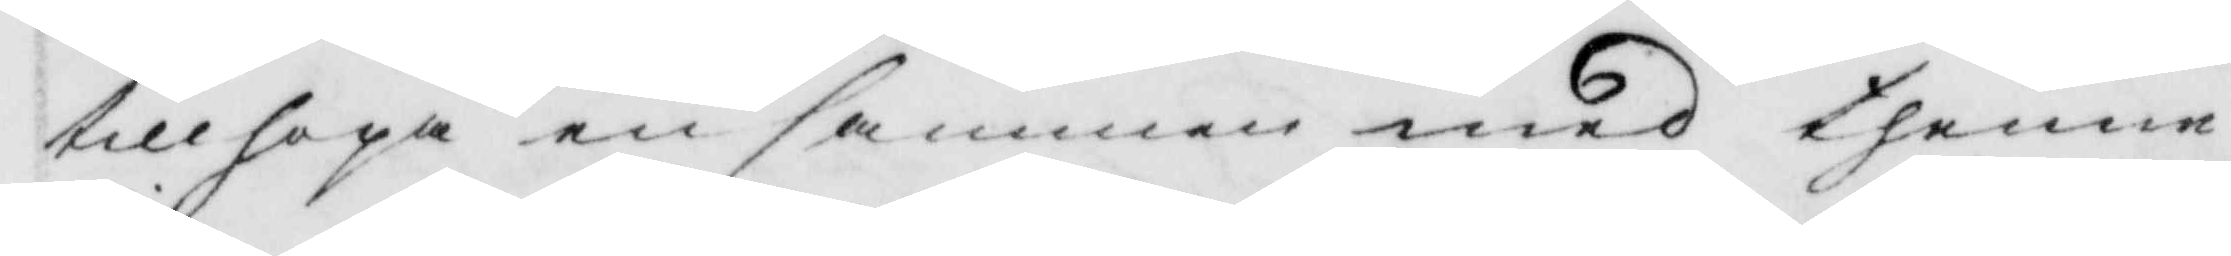tillhopa en samman med thenne
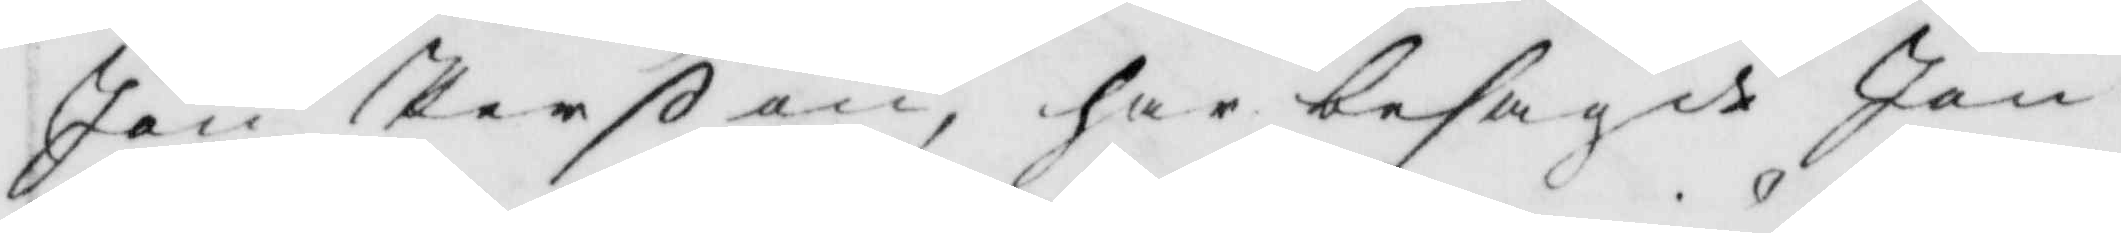Jan Perßon, har besagde Jan
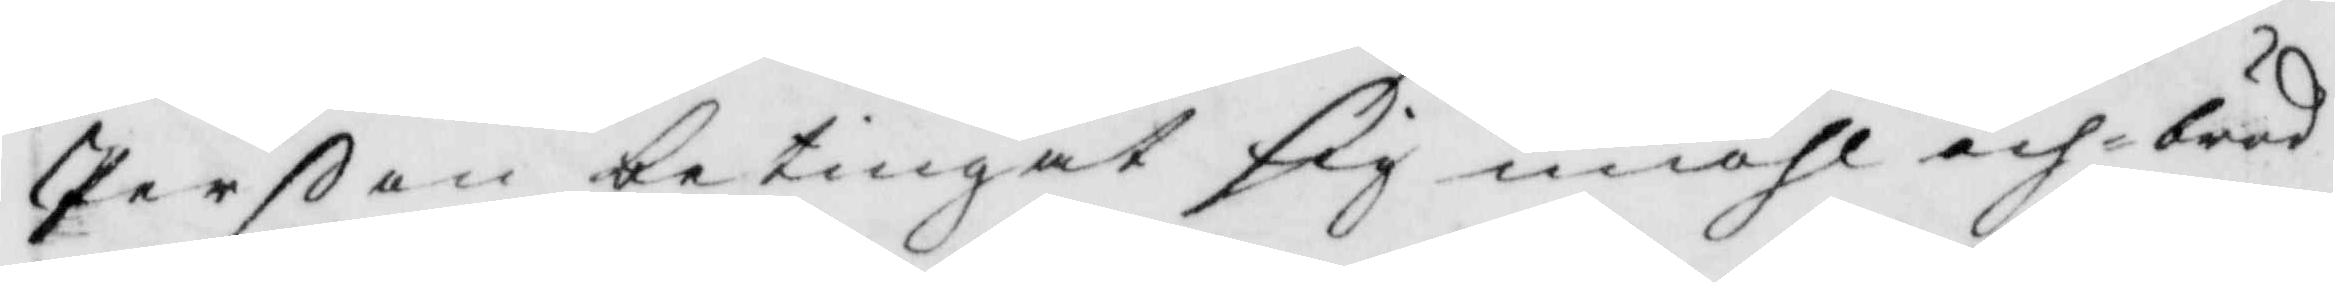Perßon betingat sig miöhl och bröd
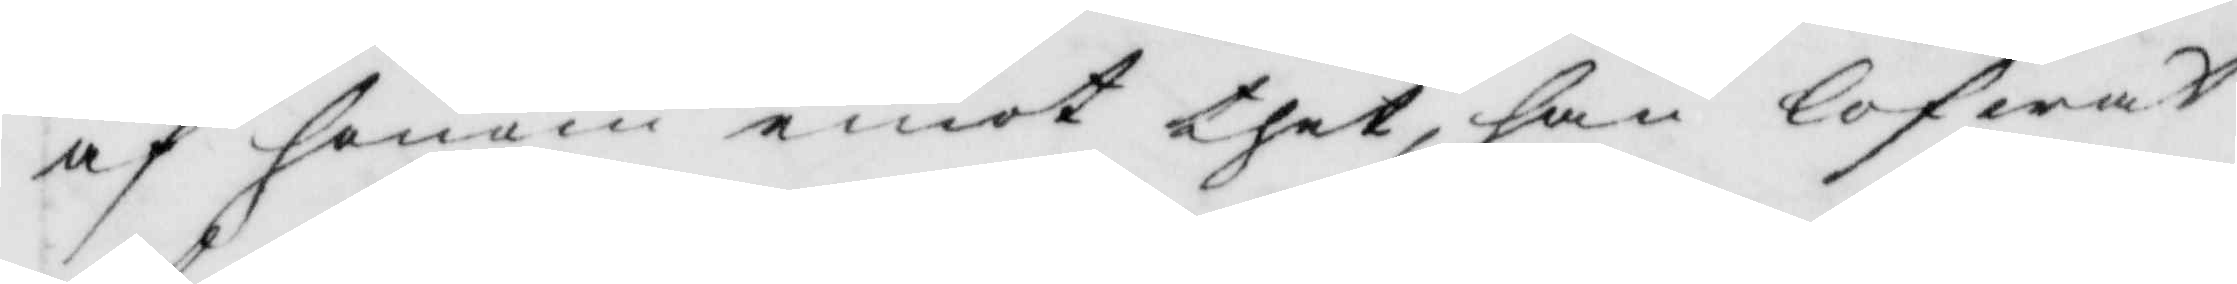af honom emot thet, han lofwat
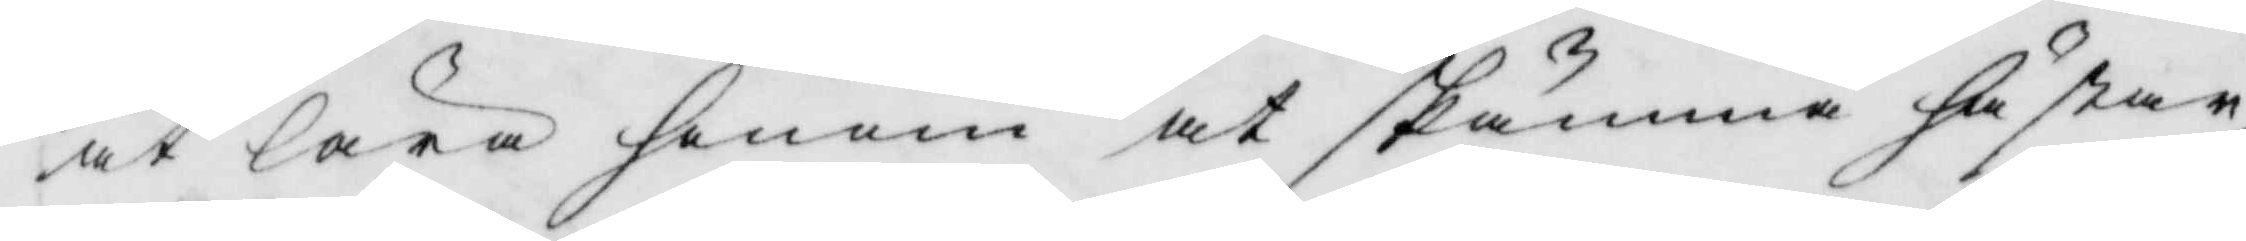at lära honom at skämma hästar,
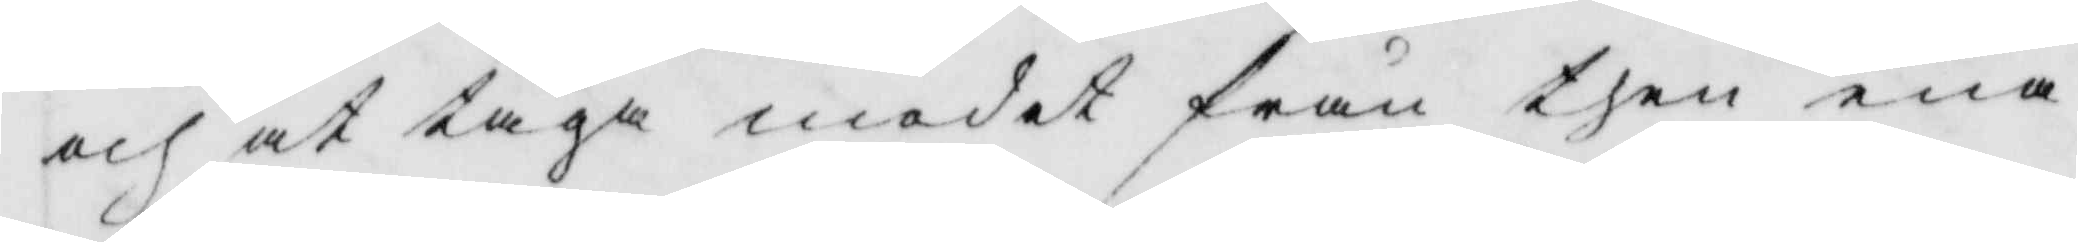och at taga modet från then ena
